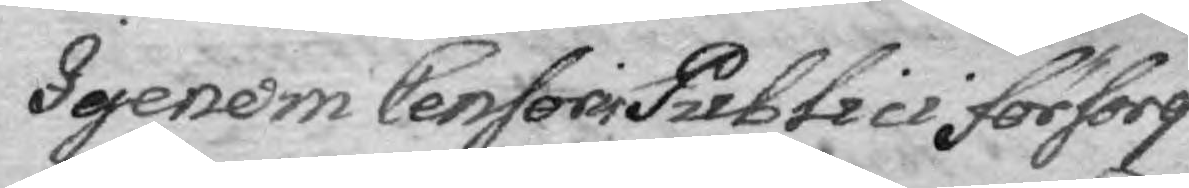Igenom Censoris Publici försorg
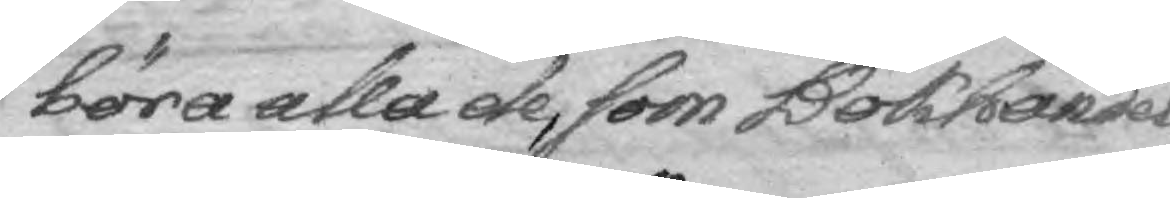böra alla de, som Bokhandel
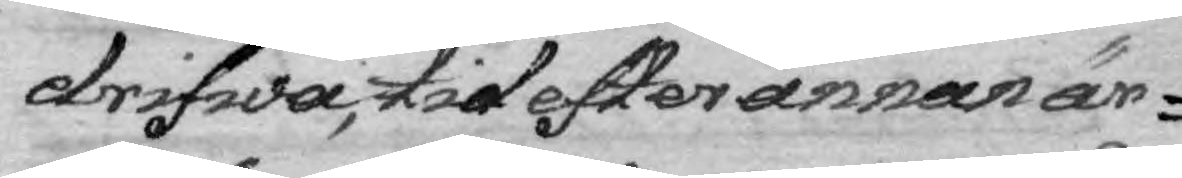drifwa, tid efter annan är¬
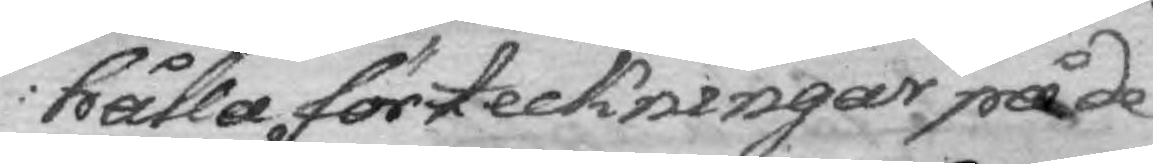hålla förteckningar på de
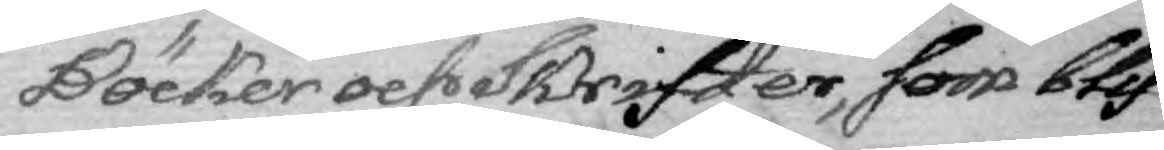Böcker och Skrifter, som blif¬
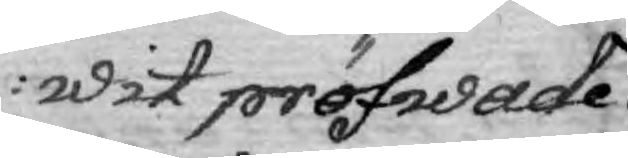wit pröfwade
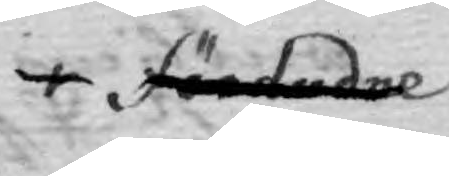förbudne
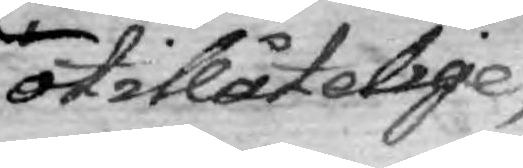otillåtelige,
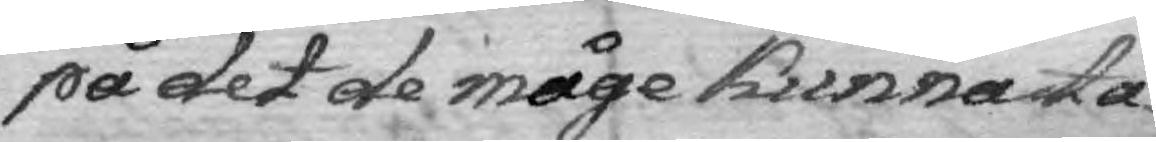på det de måge kunna ta¬
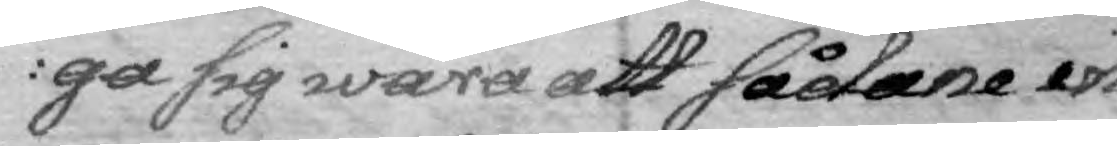ga sig wara att sådane in
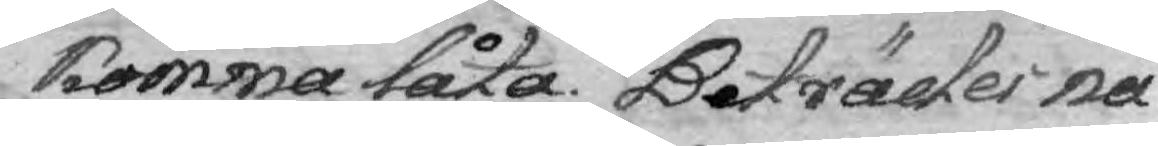komma låta. Beträder nå¬
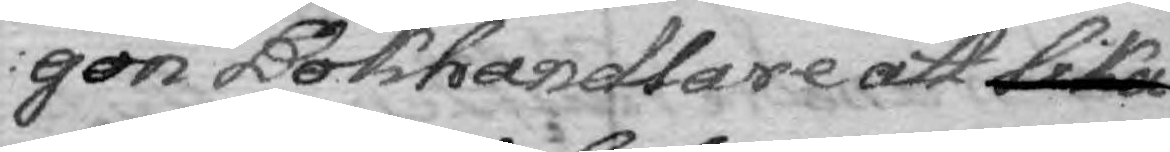gon Bokhandlare att lika
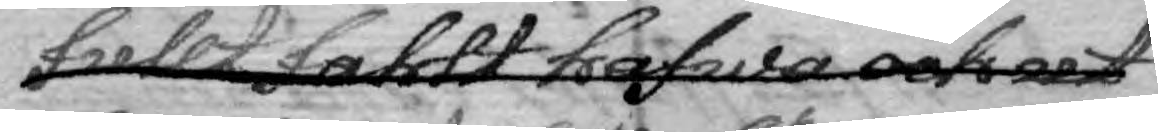fullt fahlt hafwa och ut
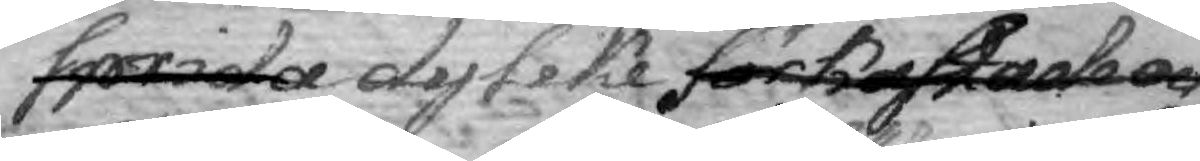sprida dylike förkastade och
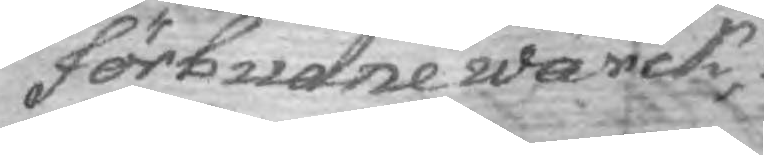förbudne wärck,
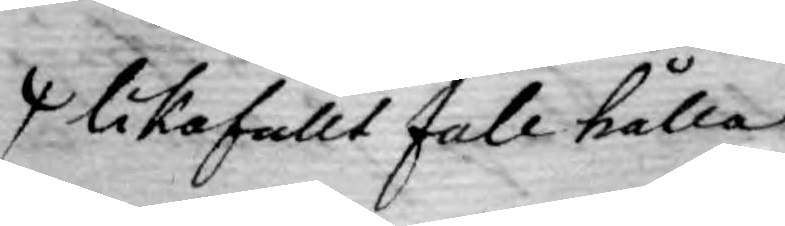likafullt fall hålla
